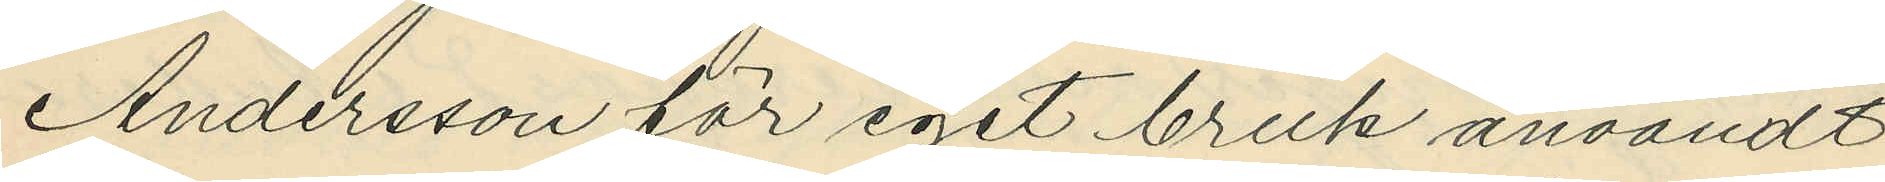Andersson för eget bruk användt
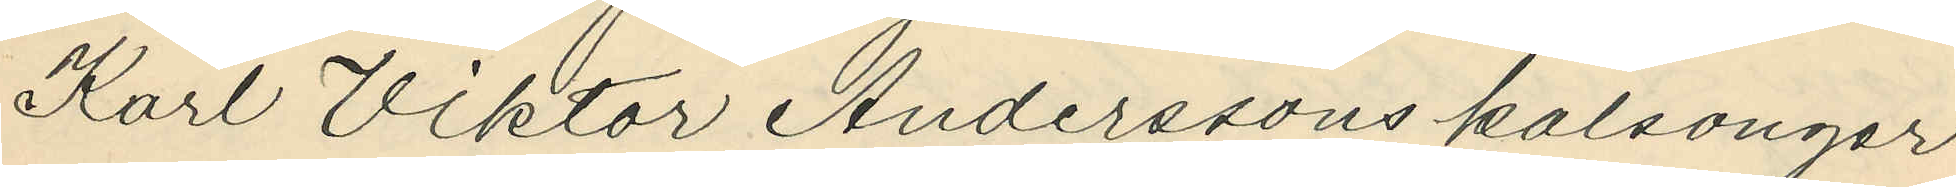Karl Viktor Anderssons kalsonger
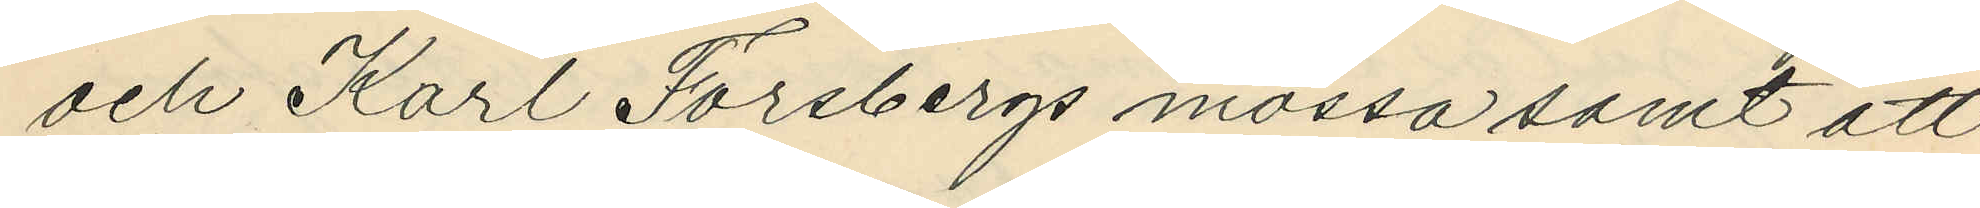och Karl Forsbergs mössa samt att
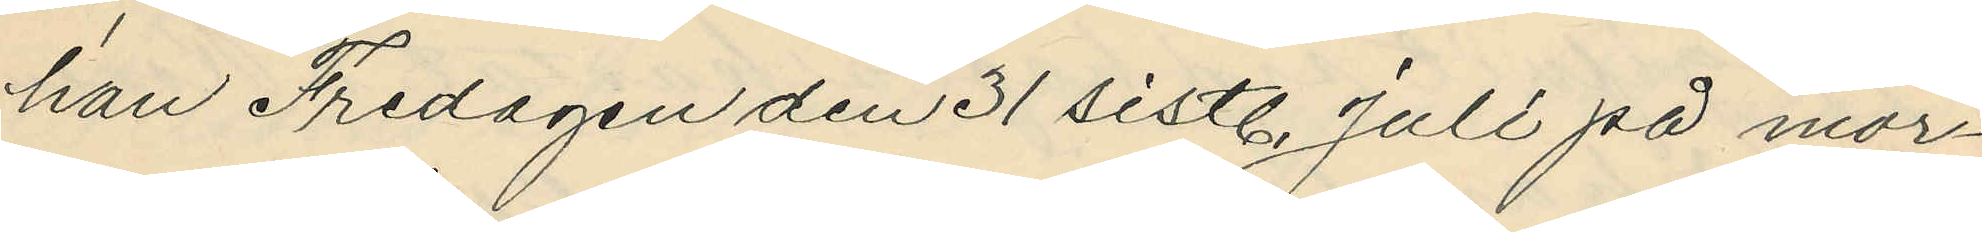han Fredagen den 31 sistl. Juli på mor¬
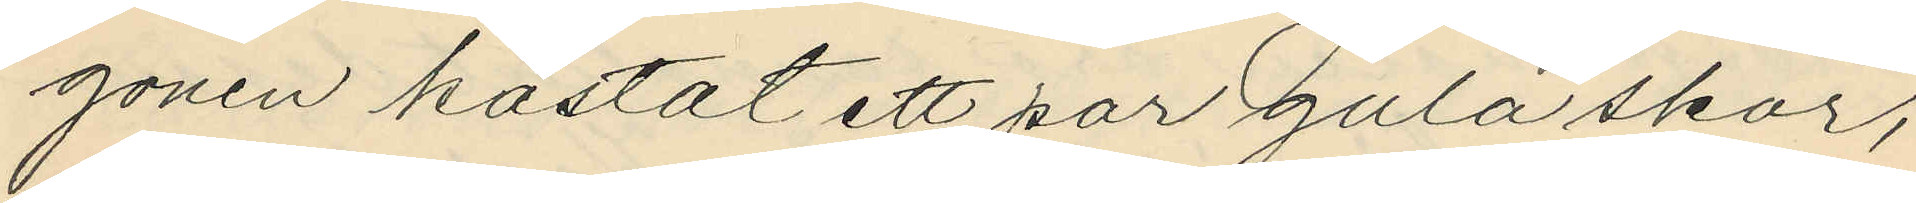gonen kastat ett par gula skor,
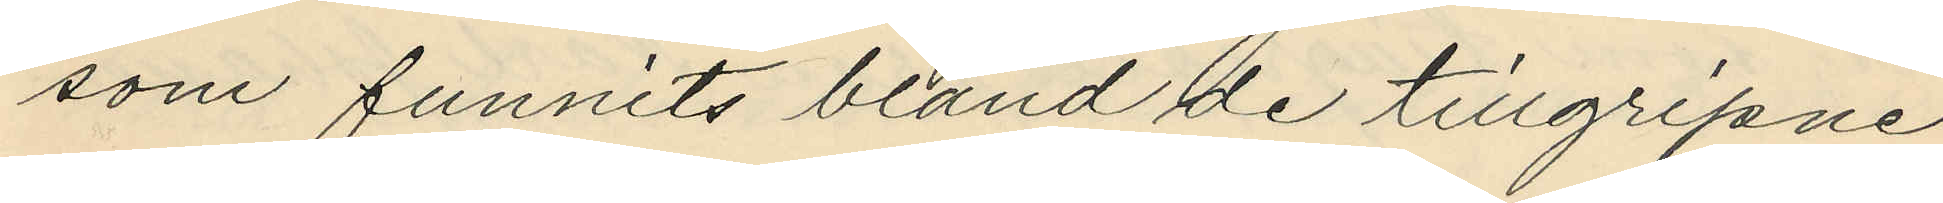som funnits bland de tillgripne
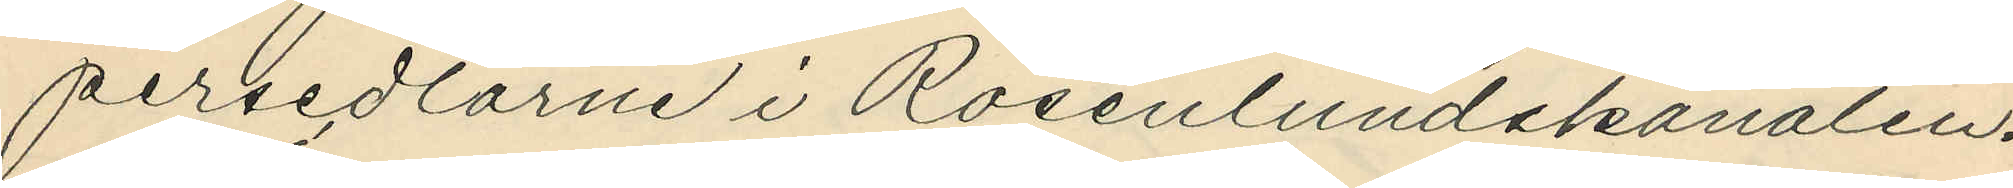persedlarne i Rosenlundskanalen.
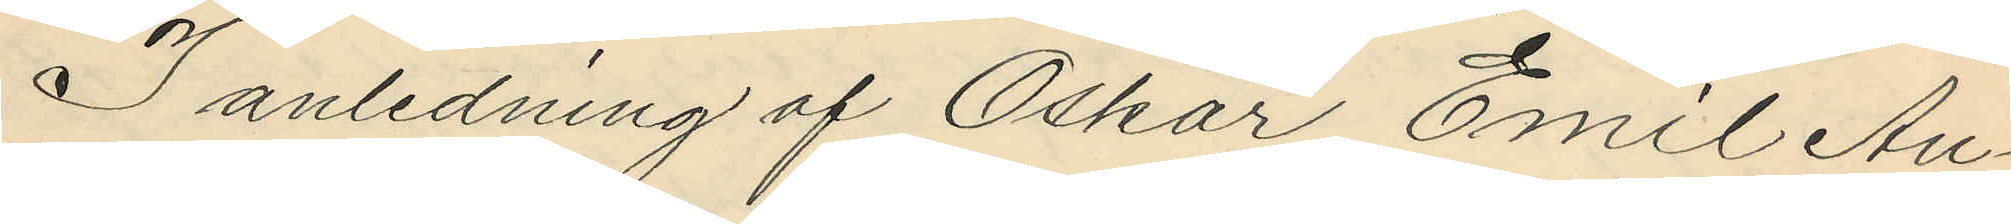I anledning af Oskar Emil An¬
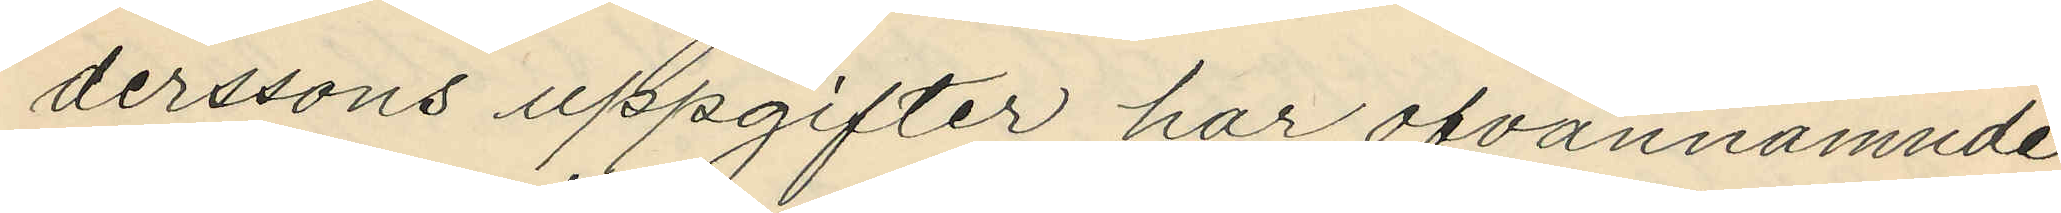derssons uppgifter har ofvannämnde
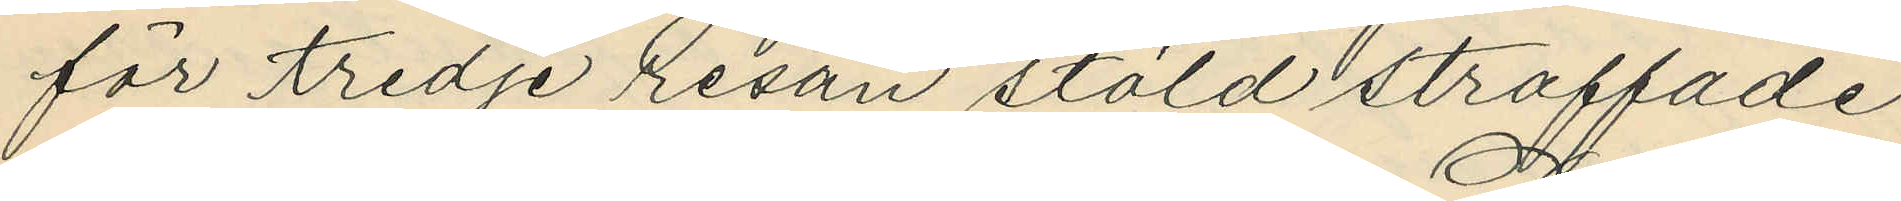för tredje resan stöld straffade
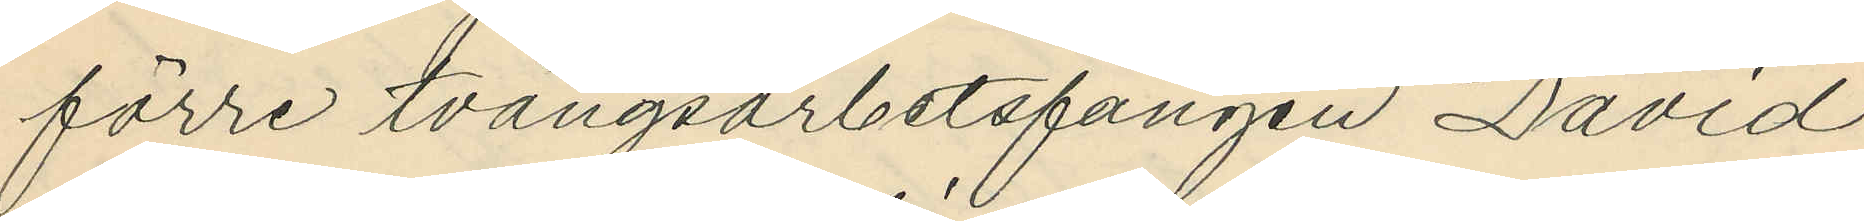förre tvångsarbetsfången David
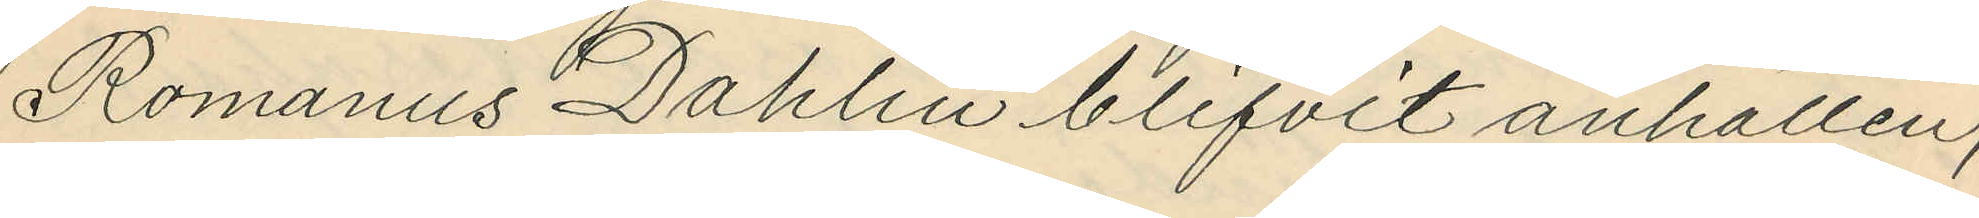Romanus Dahlin blifvit anhållen;
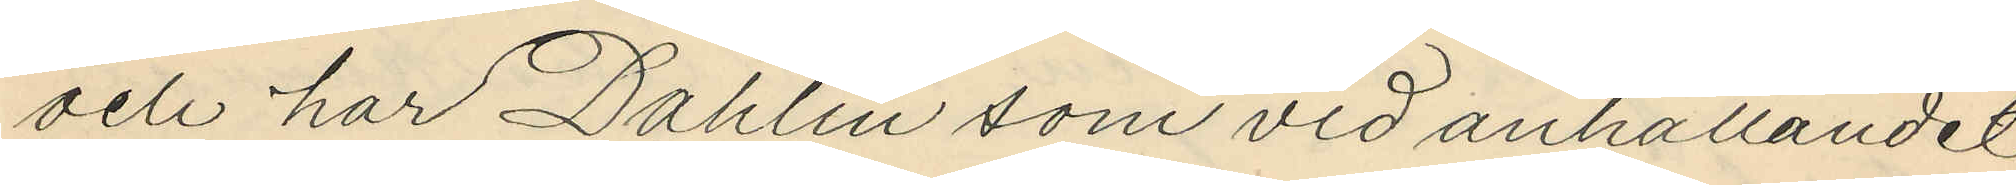och har Dahlin som vid anhållandet
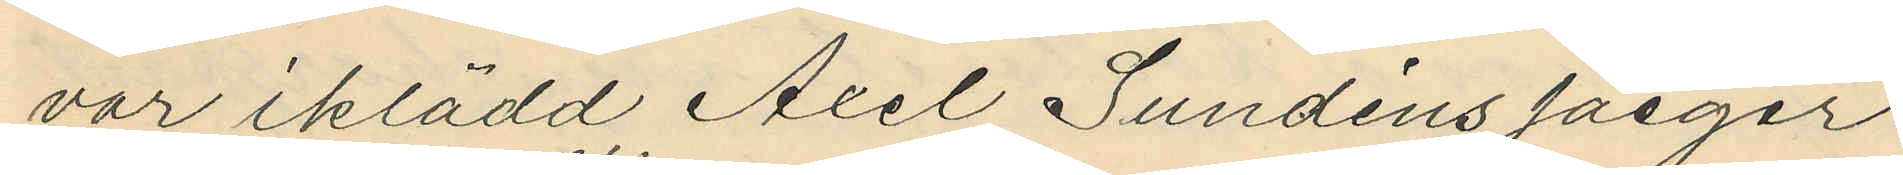var iklädd Axel Sundéns jaeger¬
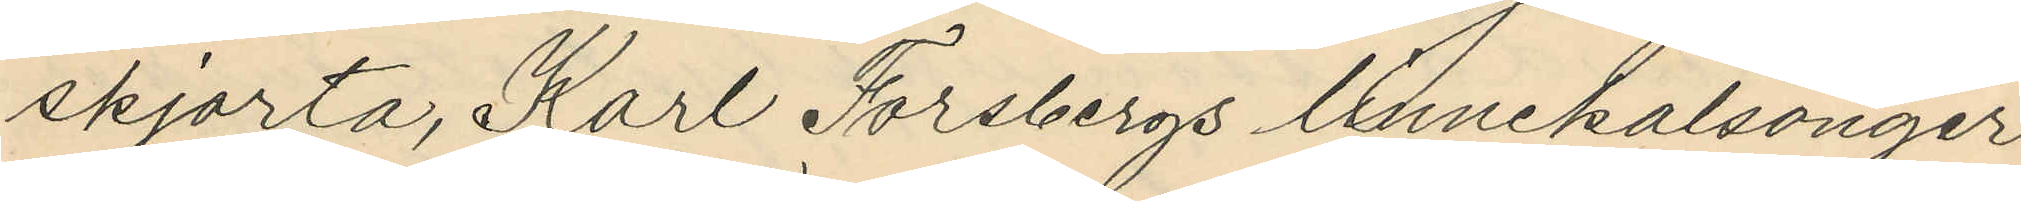skjorta, Karl Forsbergs linnekalsonger
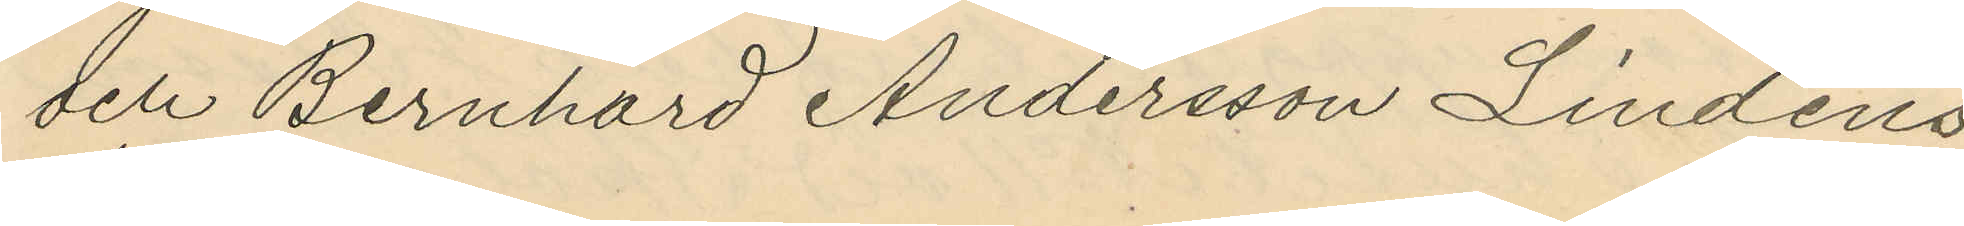och Bernhard Andersson Lindéns
